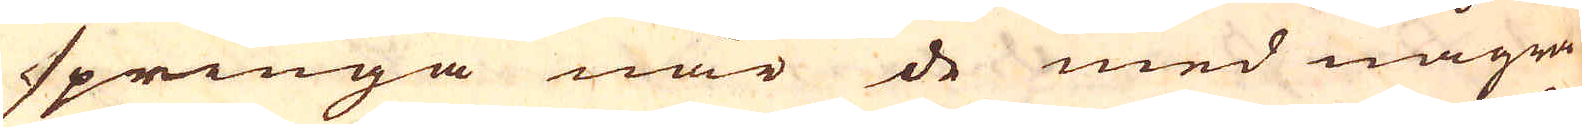springa när de med några
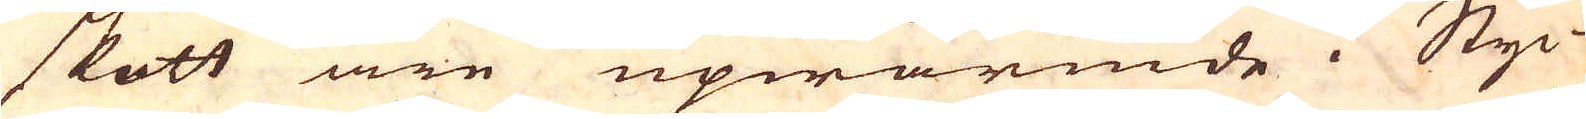skott äre upwärmde i Styc-
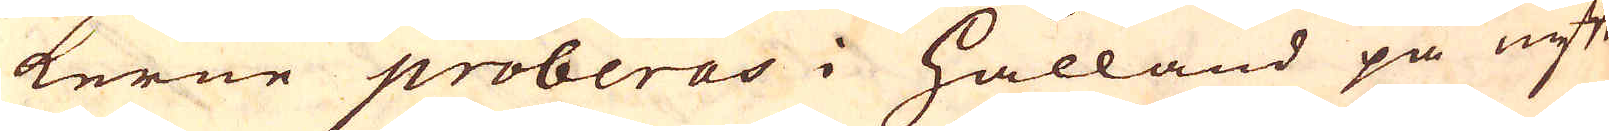kerne proberas i Hålland på nytt
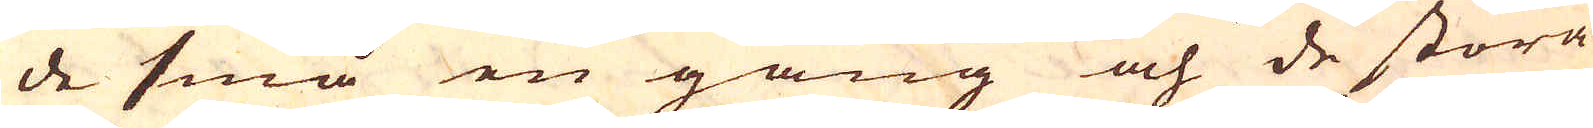de små en gång och de stora
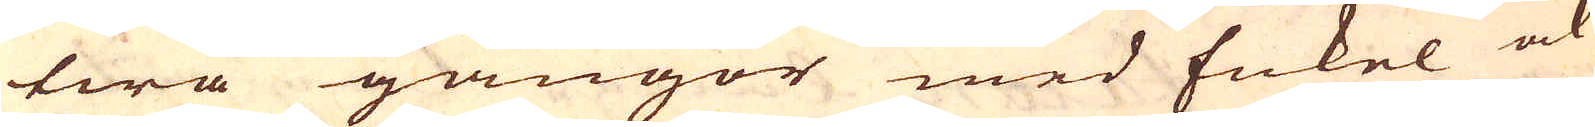twå gångor med Enkel ock
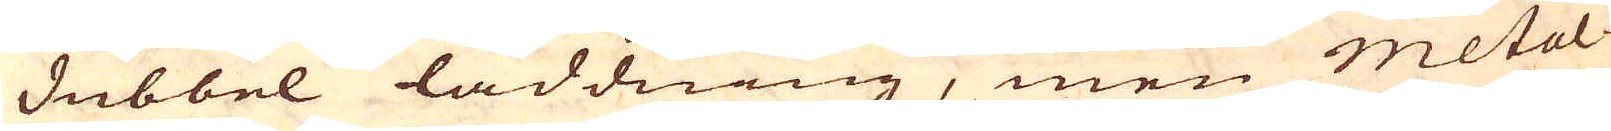Dubbel laddning, men metal-
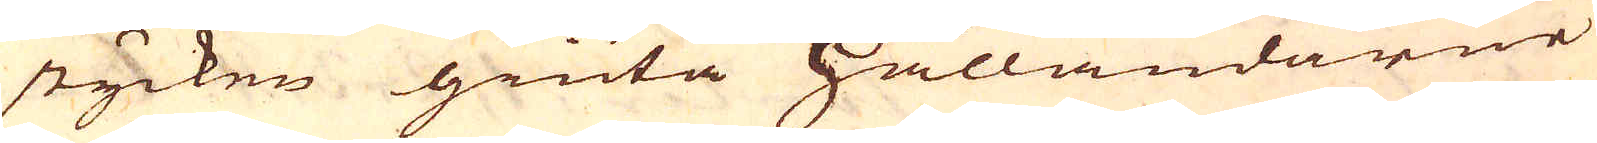stycken giuta Hålländarne
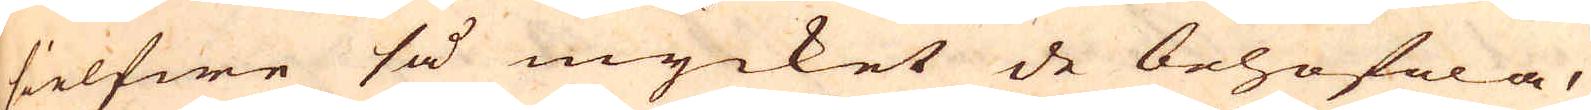sielfwe så mycket de behöfwa,
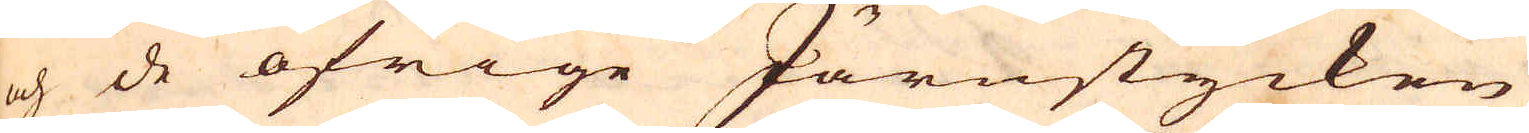och de öfrige Järnstycken
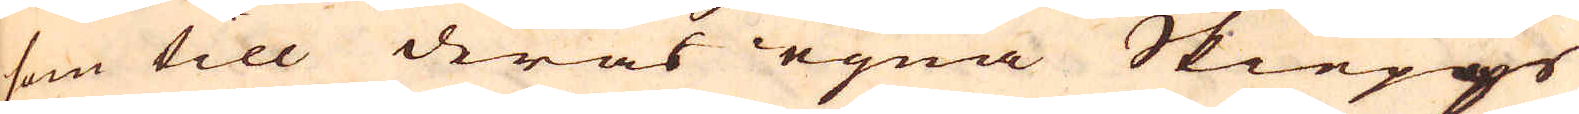som till deras egna Skiepps
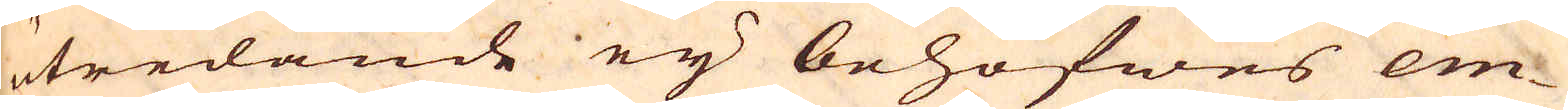utredande eij behöfwes em-
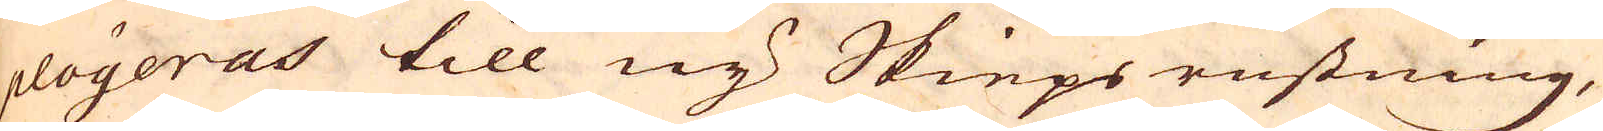ployeras till ny Skieps rustning,
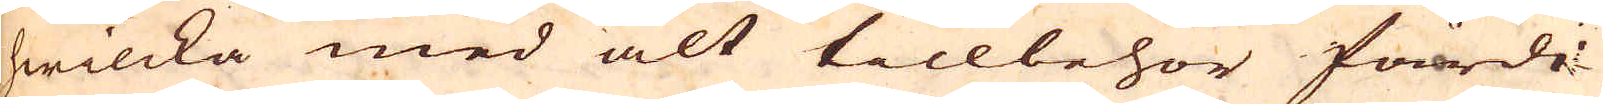hwilcka med alt tillbehör färdi-
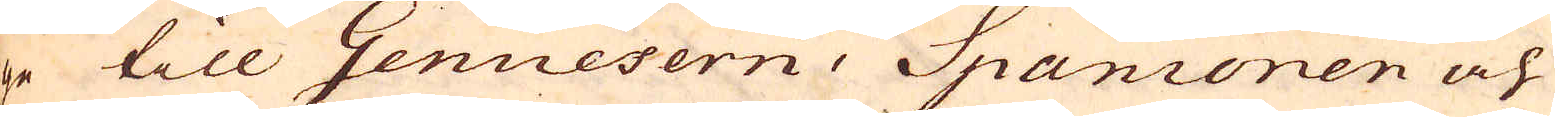ge till Genuesern, Spanioren och
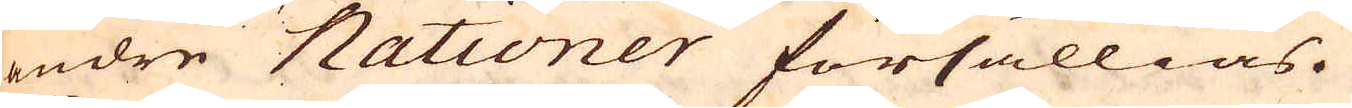andre Nationer försällias.
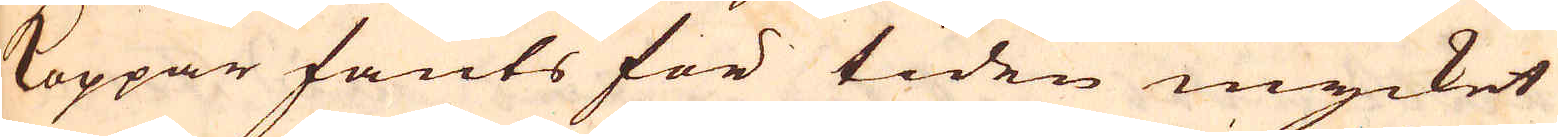Koppar fants för tiden mycket
